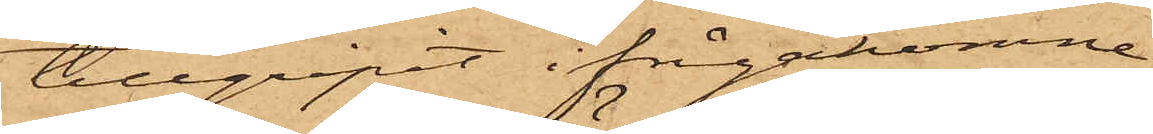tillgripit ifrågakomne
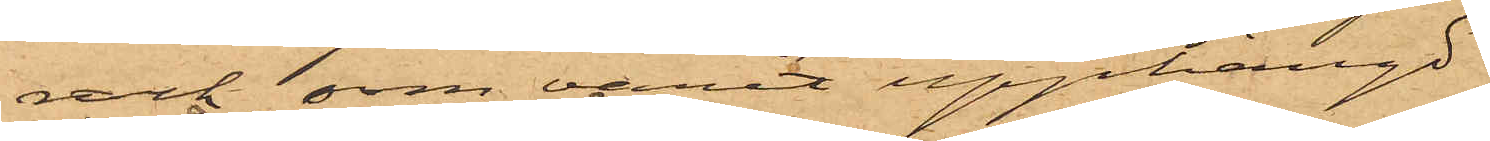rock som varit upphängd
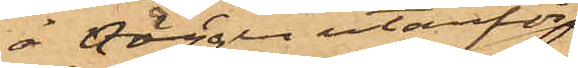å väggen utanför
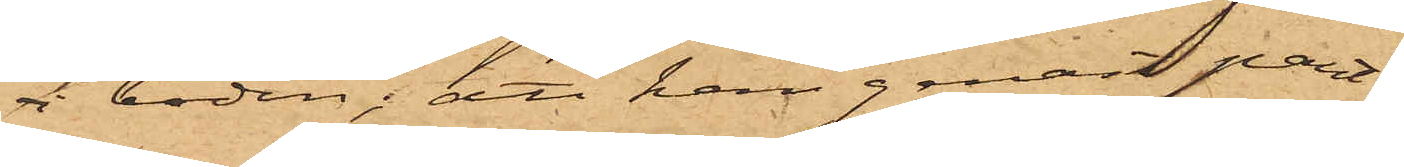 boden; att han genast pant¬
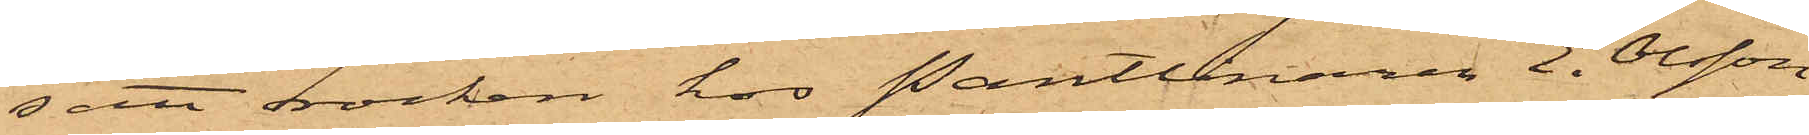satt rocken hos Pantlånaren E. Olsson
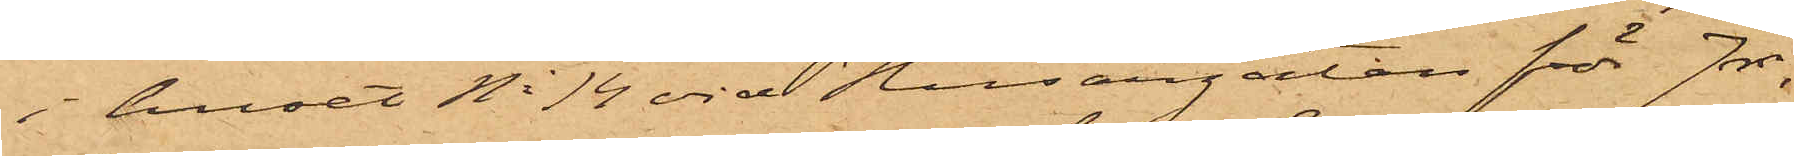i huset No 14 vid Husargatan för 7 rdr,
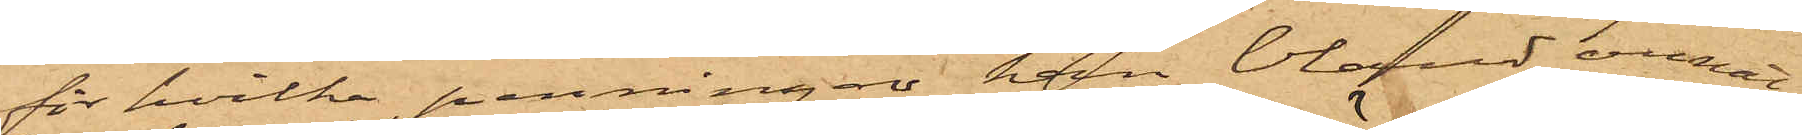för hvilka penningar han bland annat,
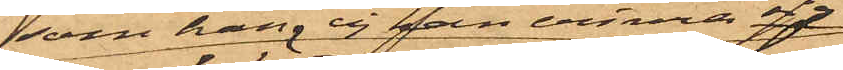som han ej kan erinra sig,
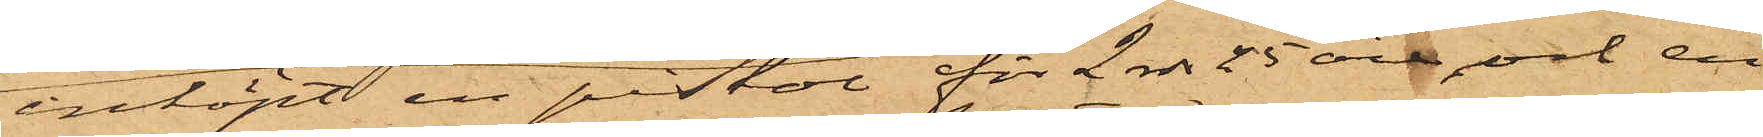inköpt en pistol för 2 rdr 25 öre, och en
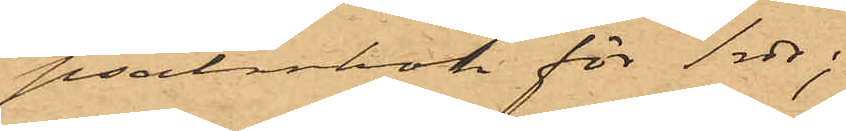psalmbok för 1 rdr;
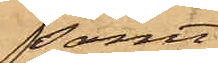samt
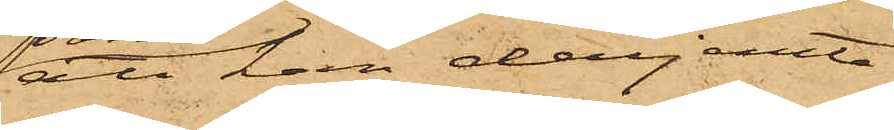att han derjemte
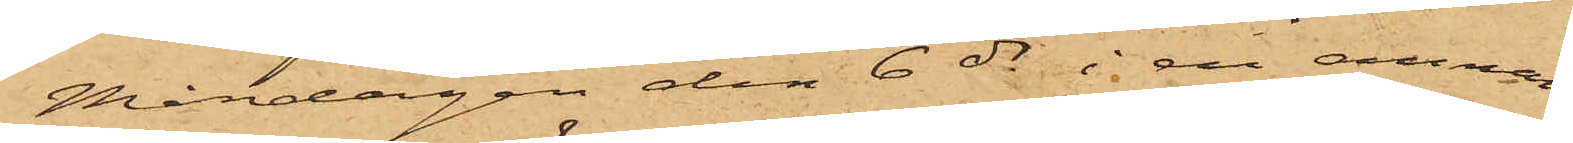Måndagen den 6 ds i en annan
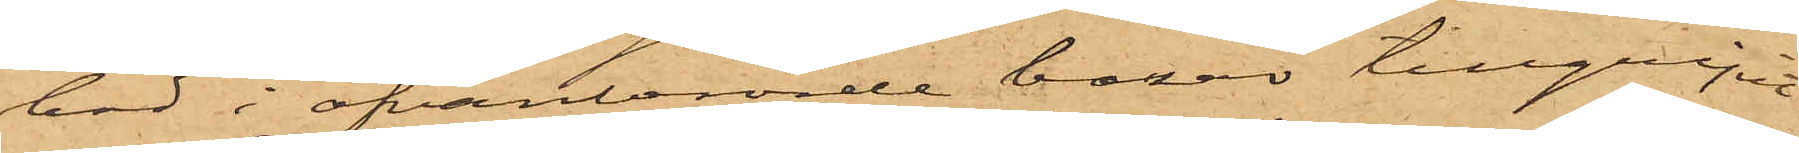bod i ofvanberörde bazar tillgripit
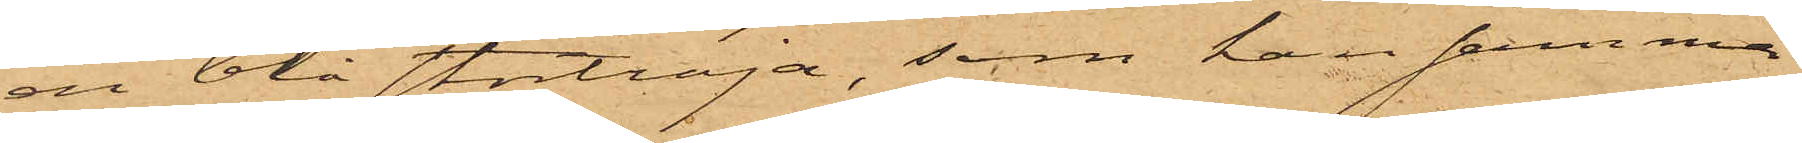en blå stortröja, som han samma
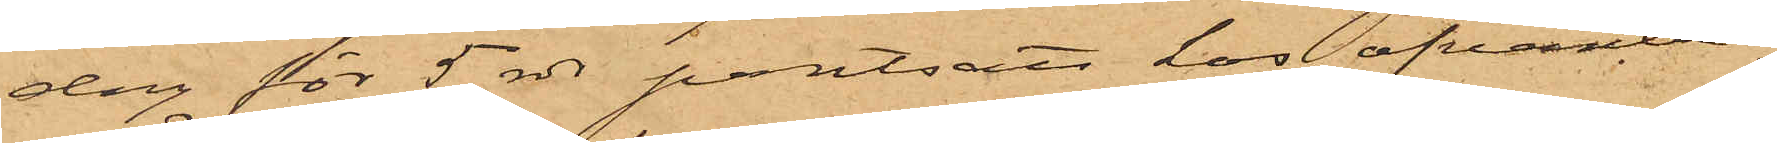dag för 5 rdr pantsatt hos ofvanbe¬
